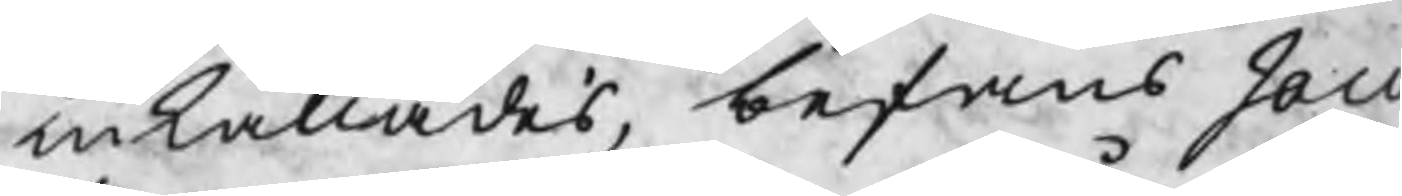inkallades, befans Jaco
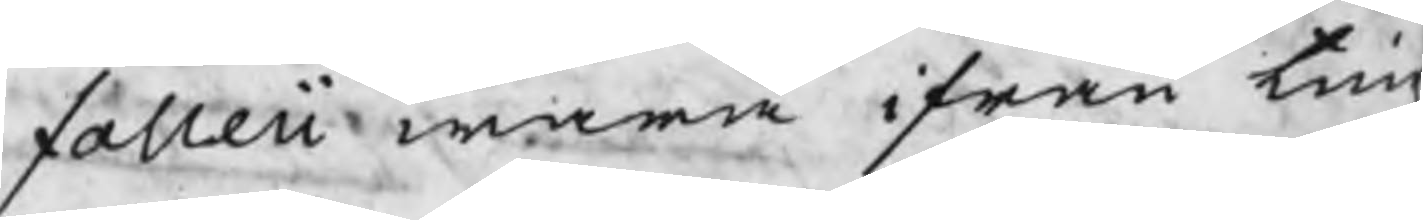falleii wara ifrån tingz
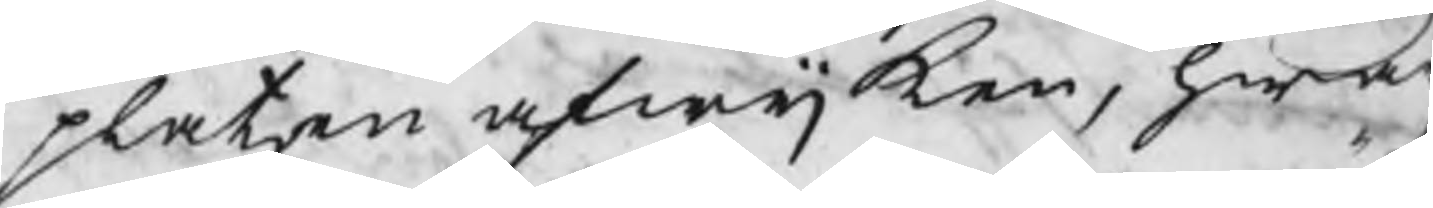platzenafwijken, hwar
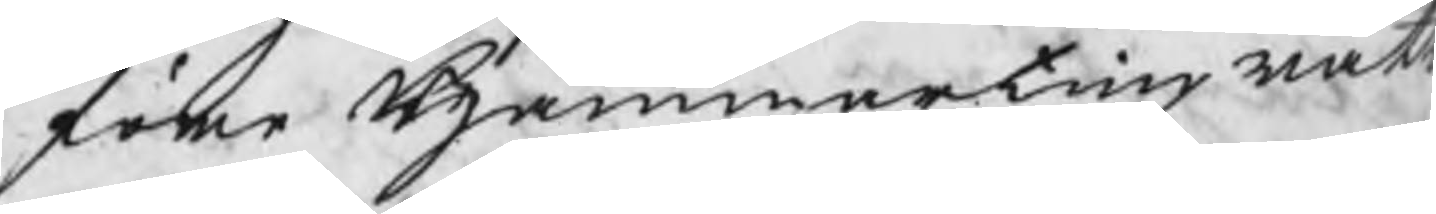före Hammartingzrätt
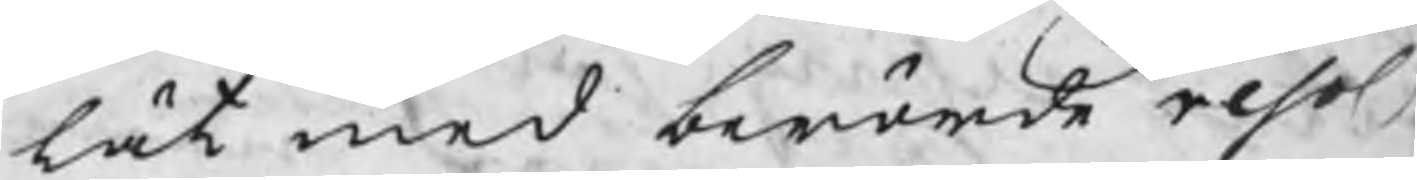lät med berörde resol
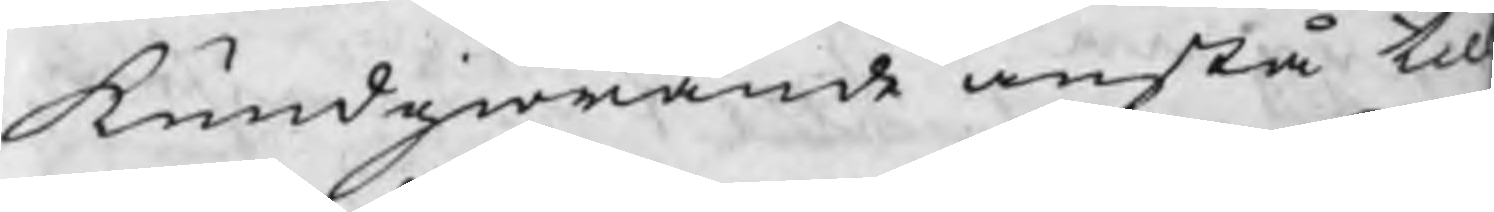kundgiörande anstå til
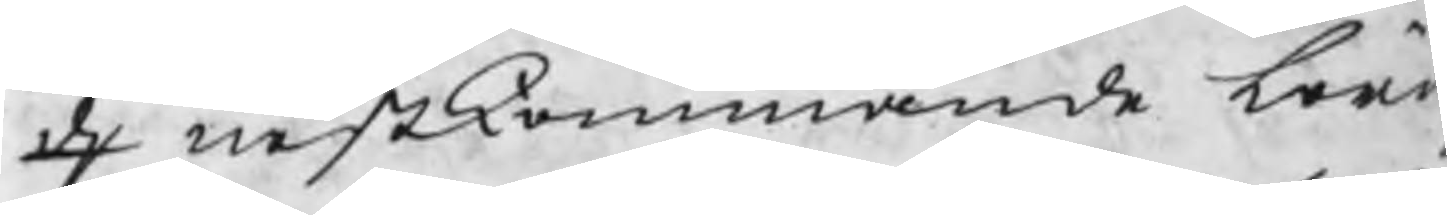d nestkommande lörd
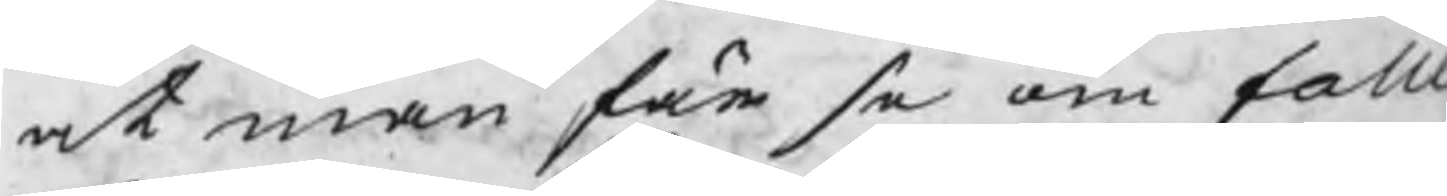at man får se om falle
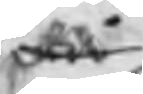då
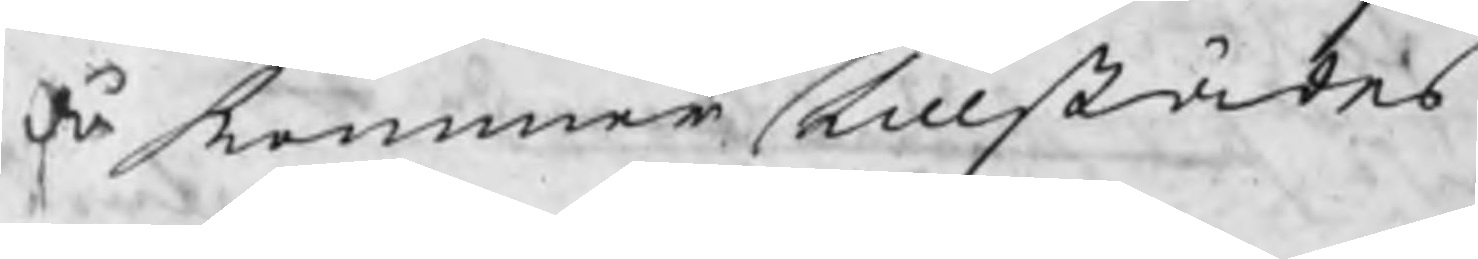då kommer tillstädes
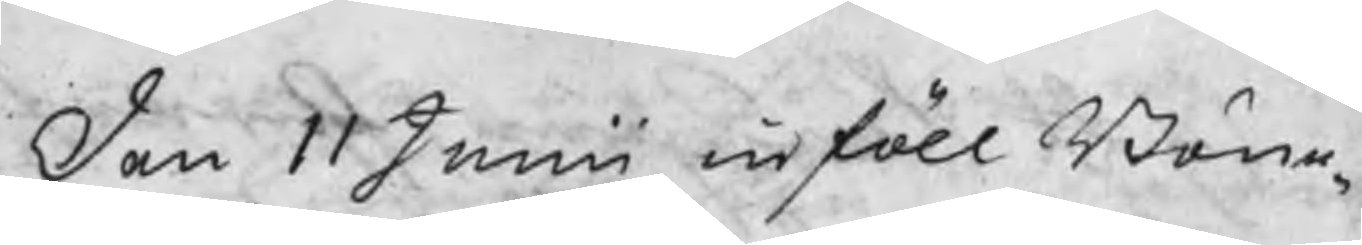den 11 Junii inföll Bön¬
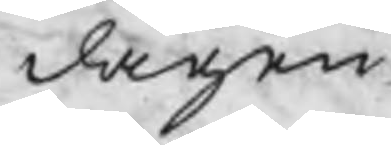dagen
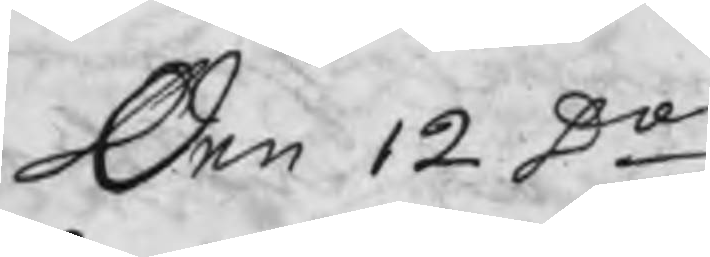Den 12 Do
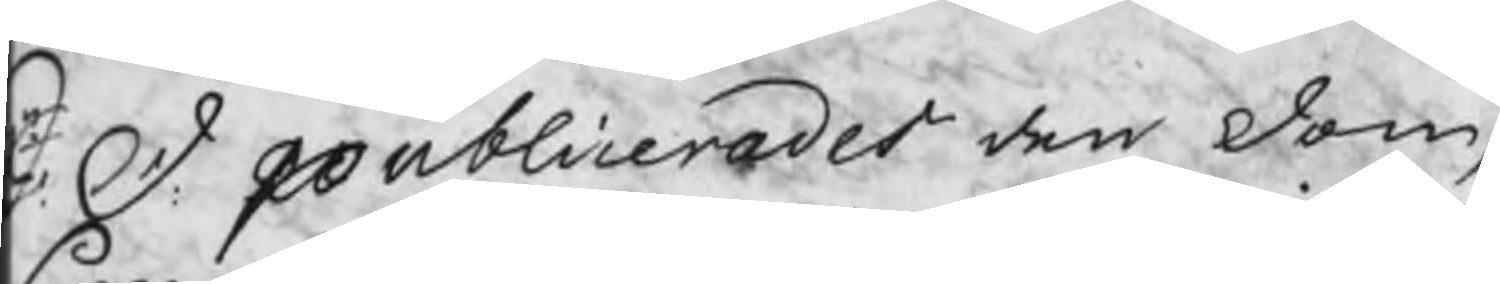S. D. publicerades den dom
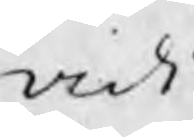vidi
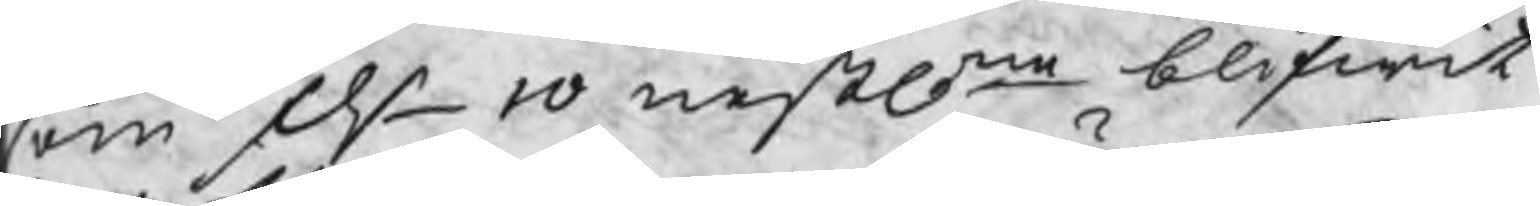som d 10 nestlne blifwit
